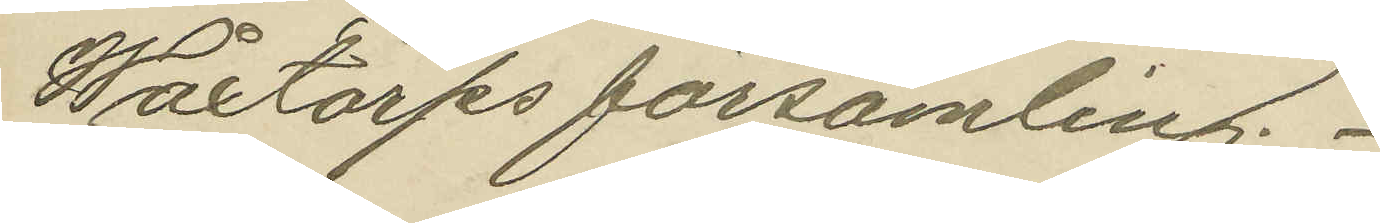Wåxtorps församling.
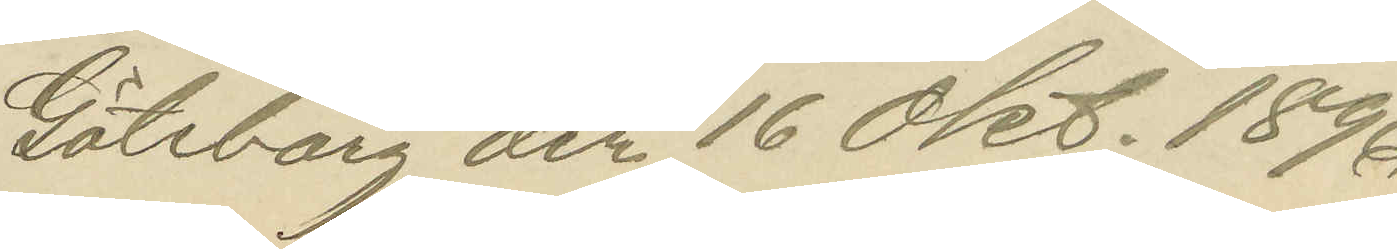Göteborg den 16 Okt. 1896.
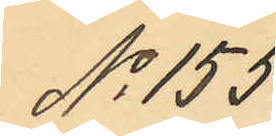No 155.
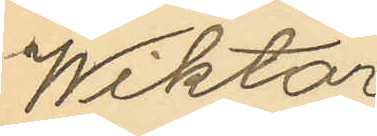Wiktor
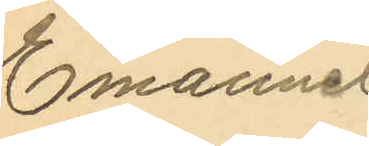Emanuel
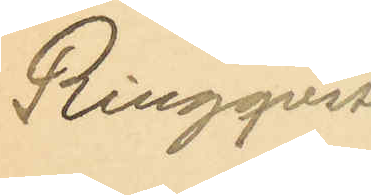Ringqvist
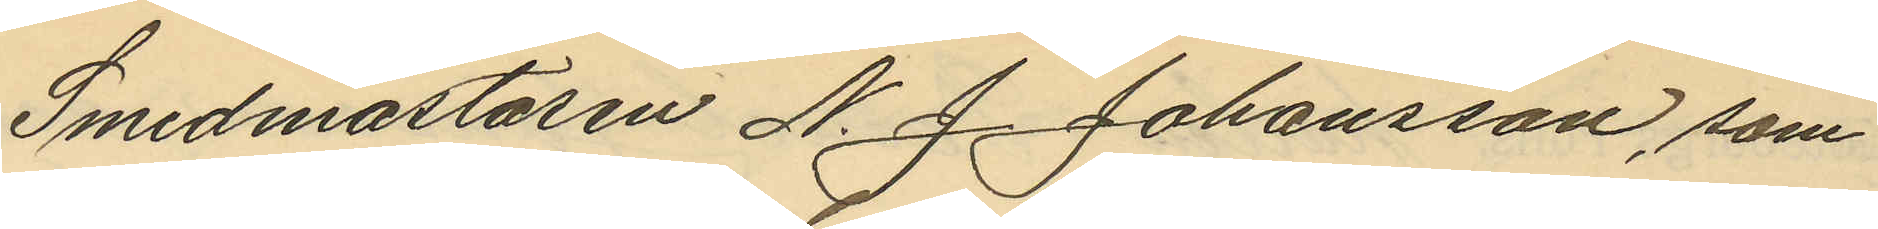Smedmästaren N. J. Johansson, som
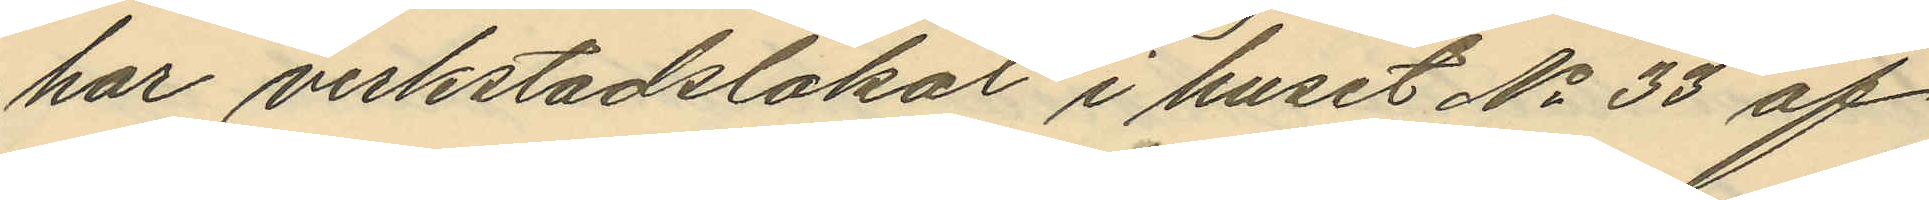har verkstadslokal i huset No 33 af
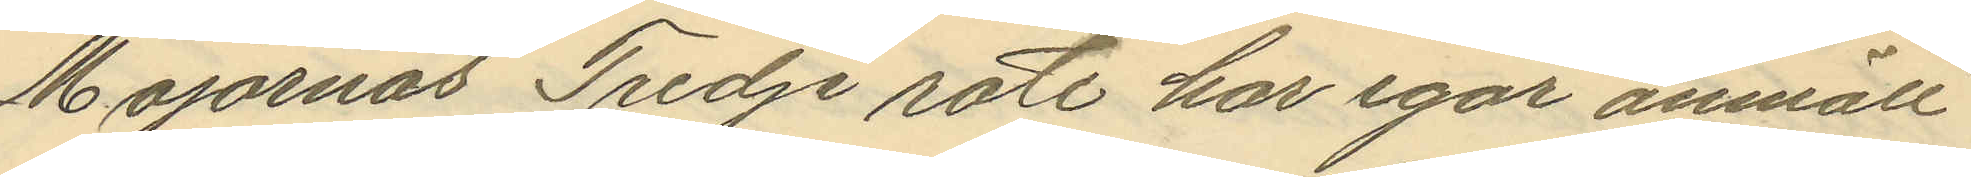Majornas Tredje rote har igår anmält
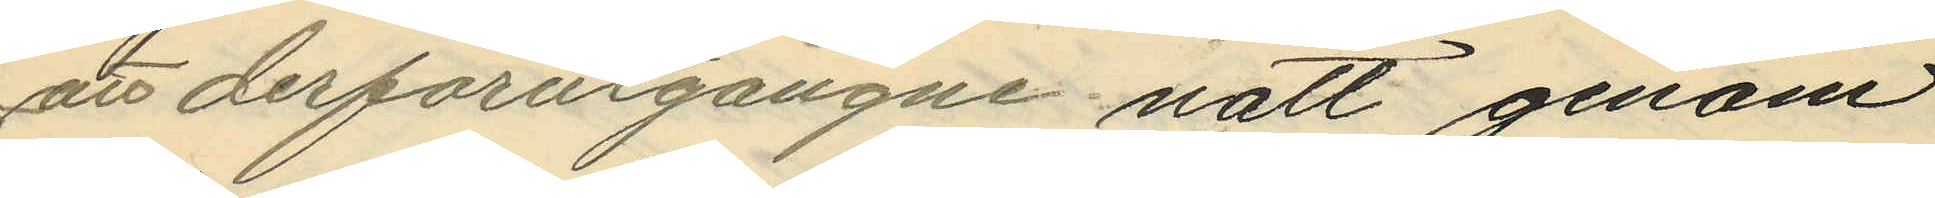att derförutgångne natt genom
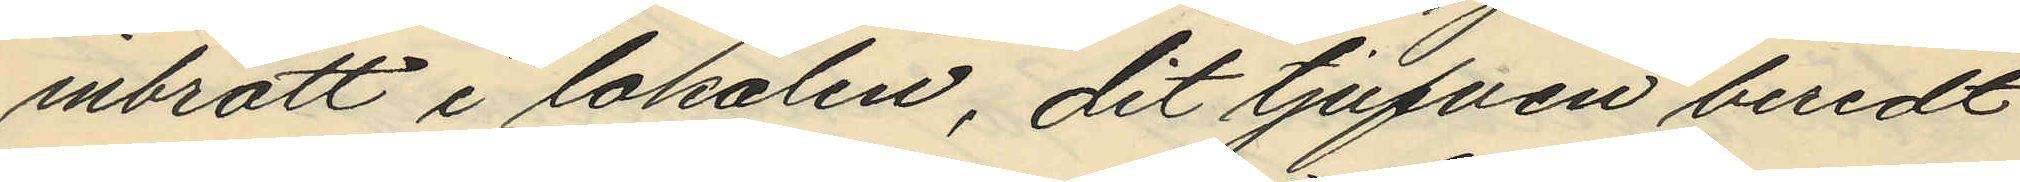inbrott i lokalen, dit tjufven beredt
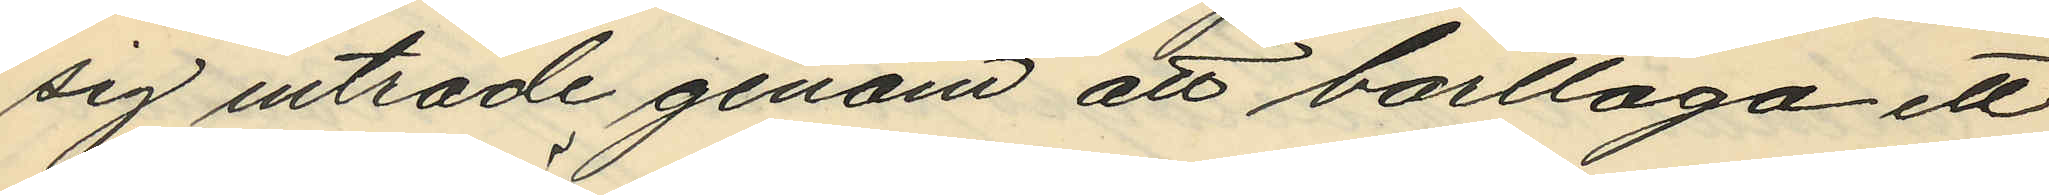sig inträde genom att borttaga ett
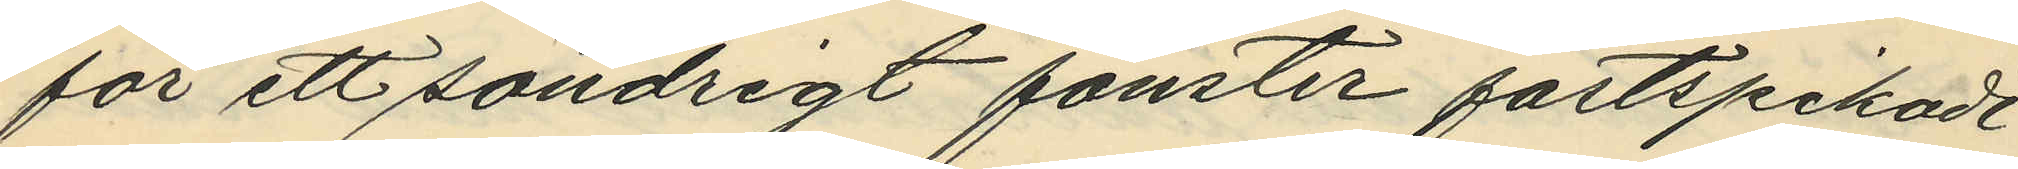för ett söndrigt fonster fastspikadt
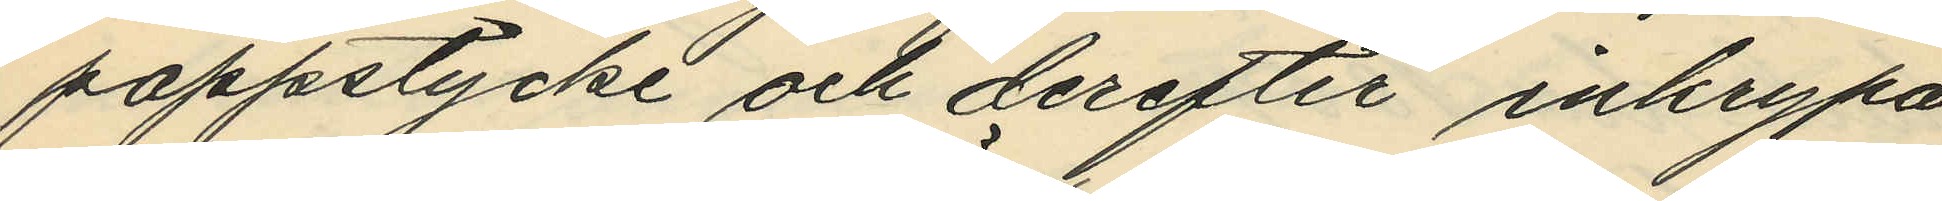pappstycke och derefter inkrypa
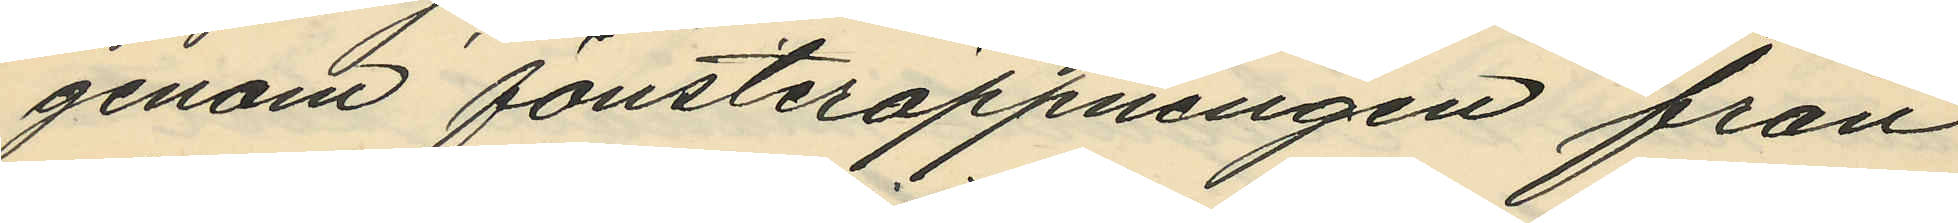genom fönsteröppningen från
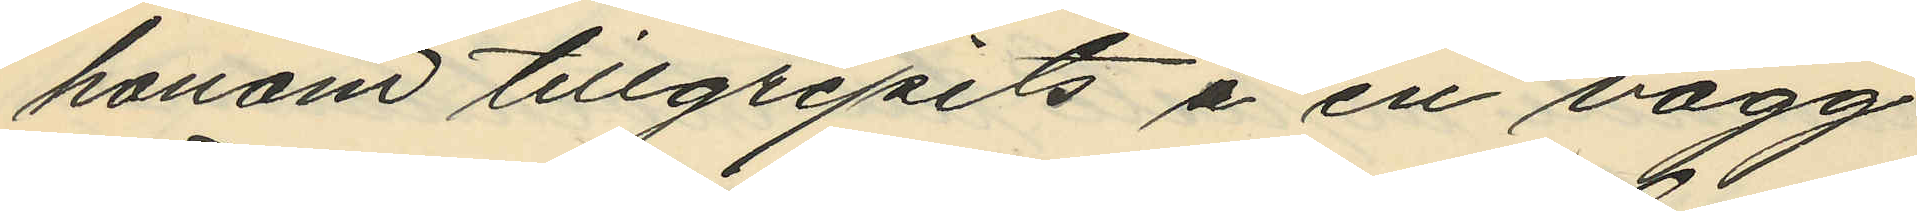honom tillgripits å en vägg
